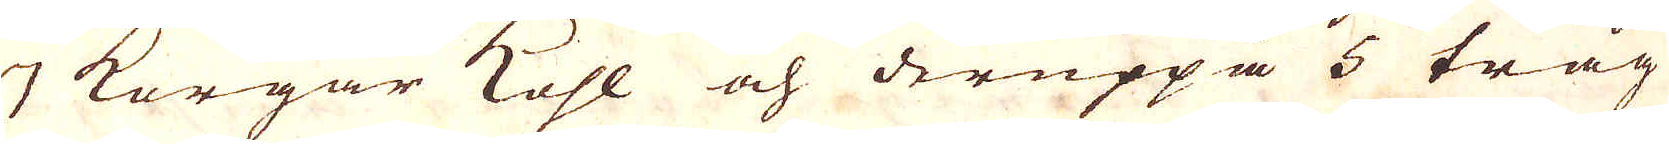7 Korgar Kohl och deruppå 5 tråg
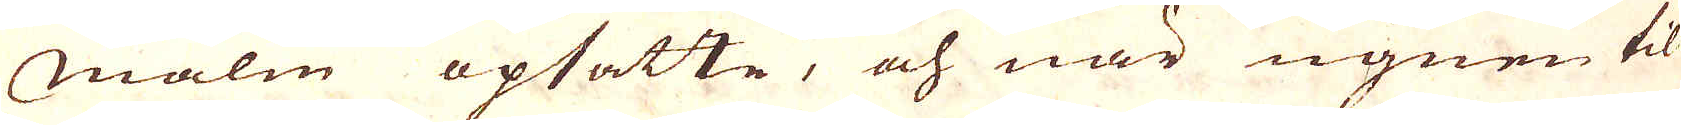Malm opsatte, och när ugnen til
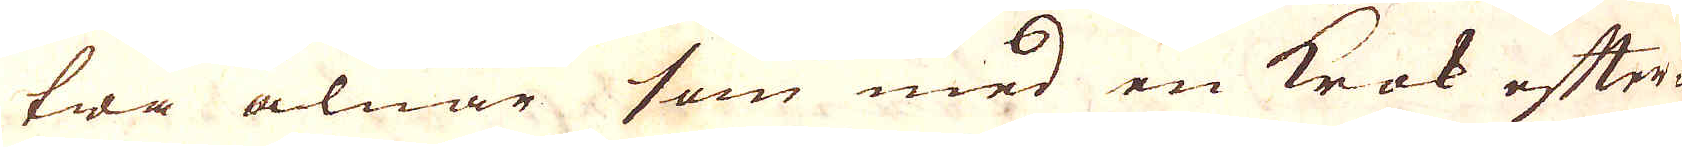twå alnar som med en Krok efter-
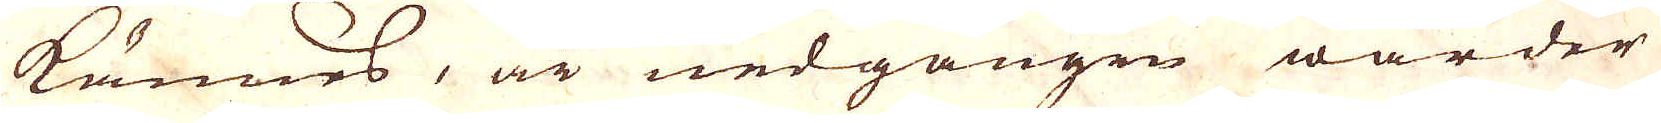kännes, är nedgången warder
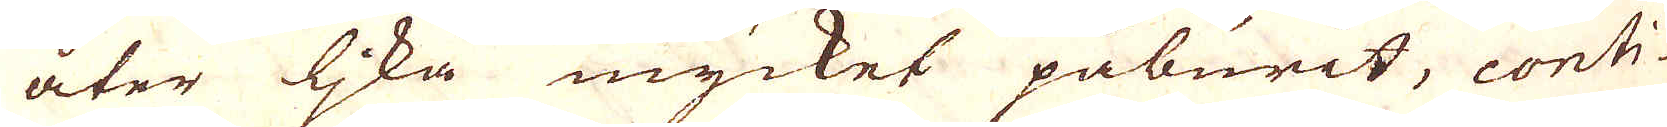åter lika mycket påburit, conti-
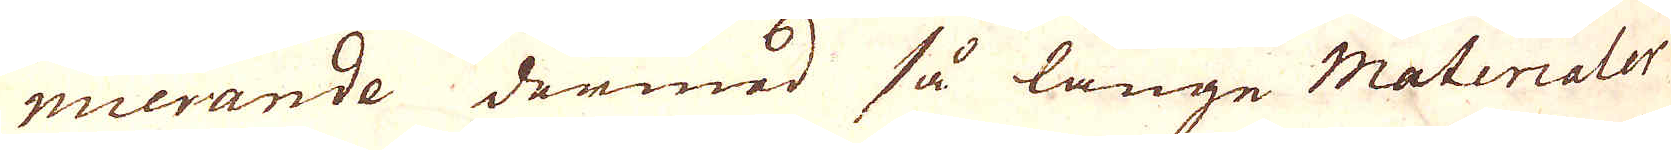nuerande dermed så länge Materialer
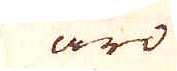äro
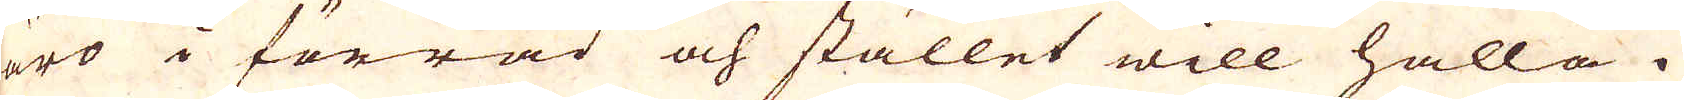äro i förrad och stället will hålla.
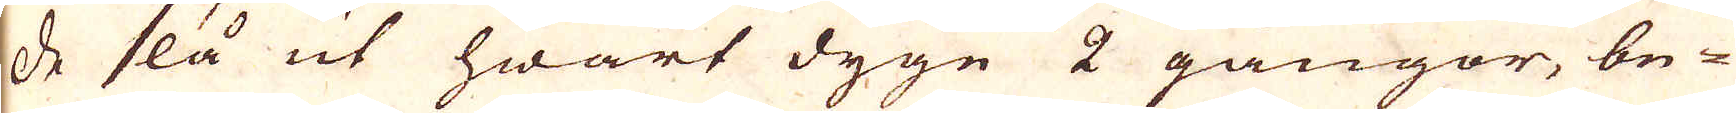De slå ut hwart dygn 2 gångor, be-
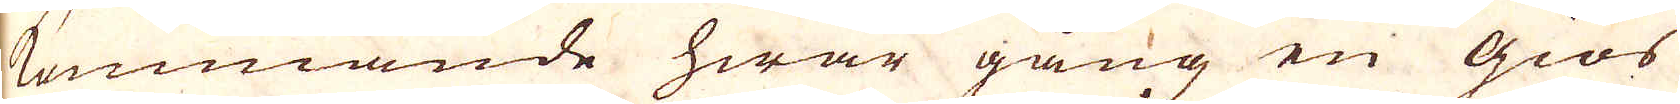kommande hwar gång en giös
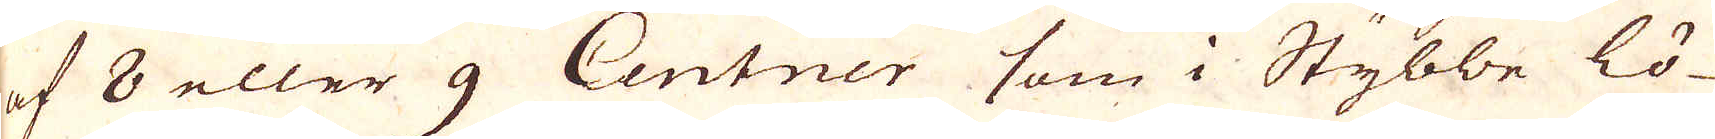af 8 eller 9 Centner som i Stybbe lö-
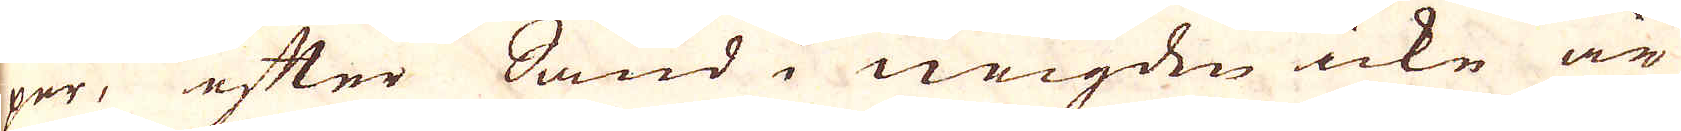per, efter Sand i neigden icke är
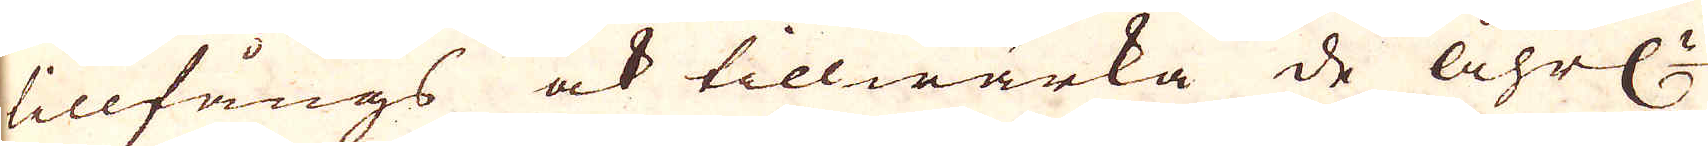tillfångs ock tillwärka de åhrl:n
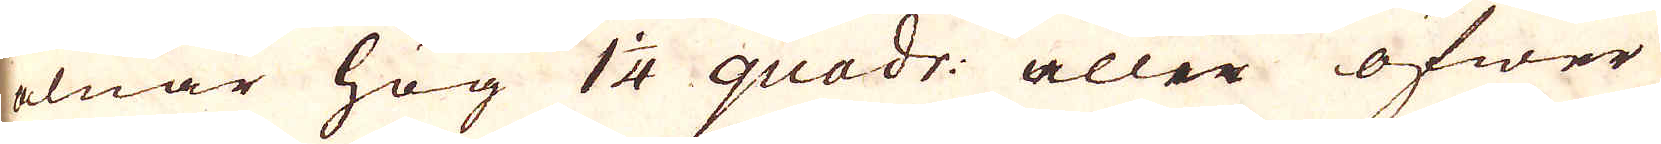alnar hög 1 1/4 quadr: aller öfwer
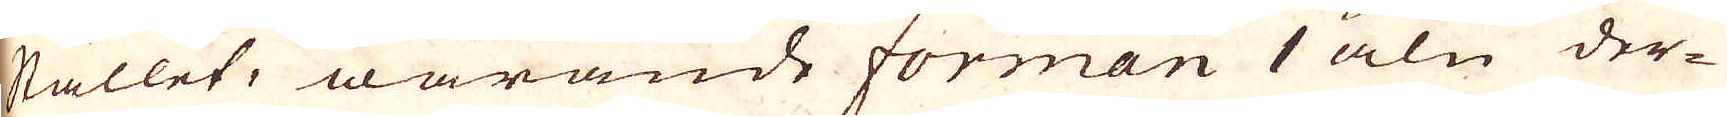stället, warande forman 1 aln der-
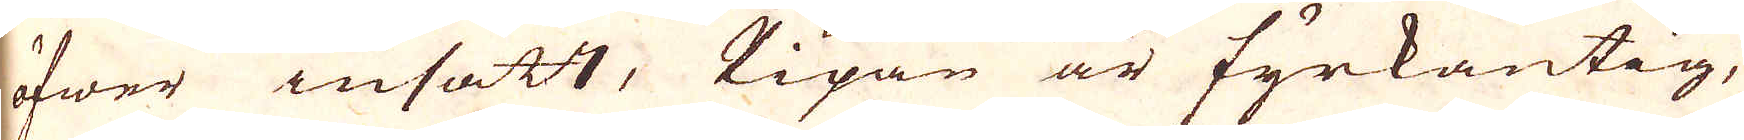öfwer insatt, Pipan är fyrkantig,
